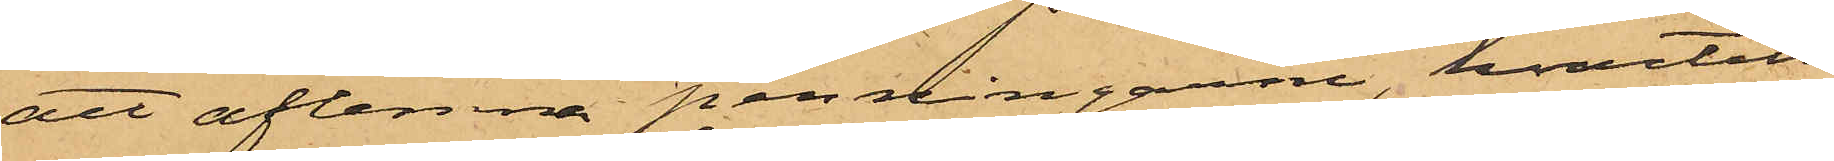att aflemna penningarne, hvartill
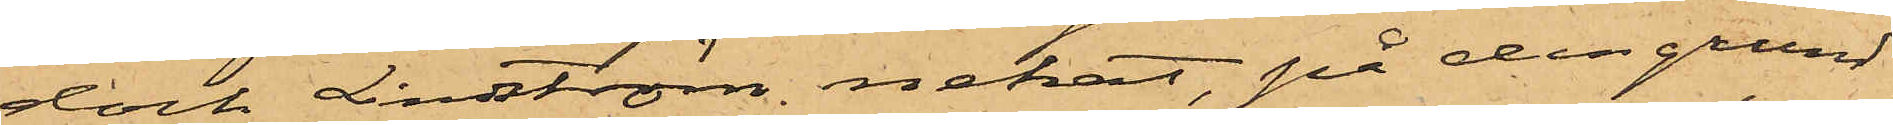dock Lindström nekat, på den grund
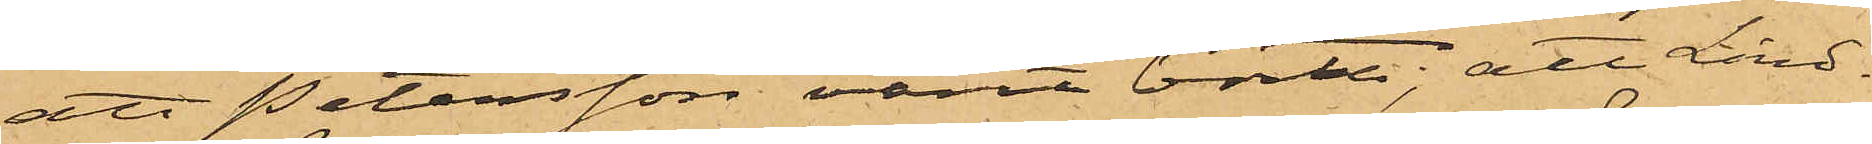att Petersson varit borta; att Lind¬
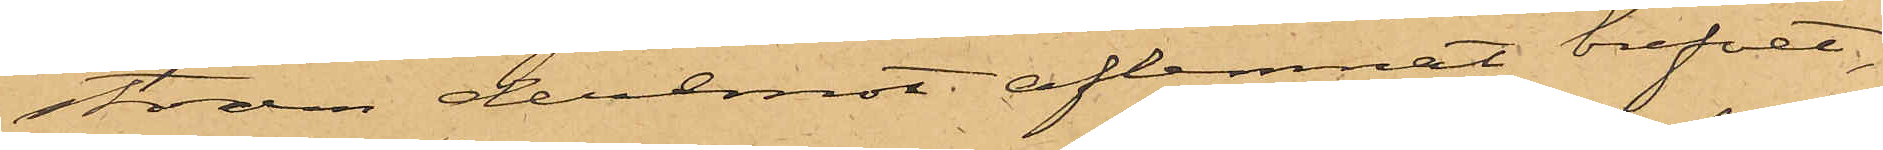ström deremot aflemnat brefvet,
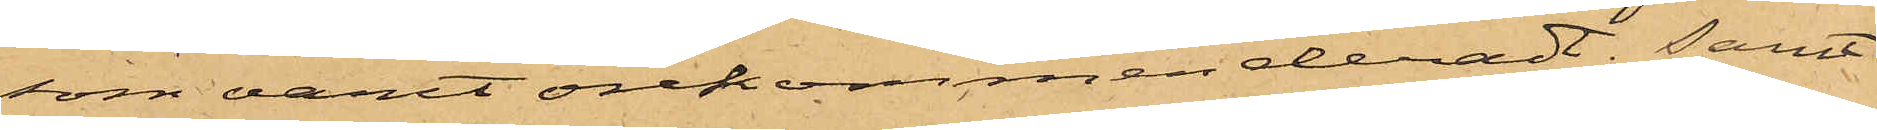som varit orekommenderadt; samt
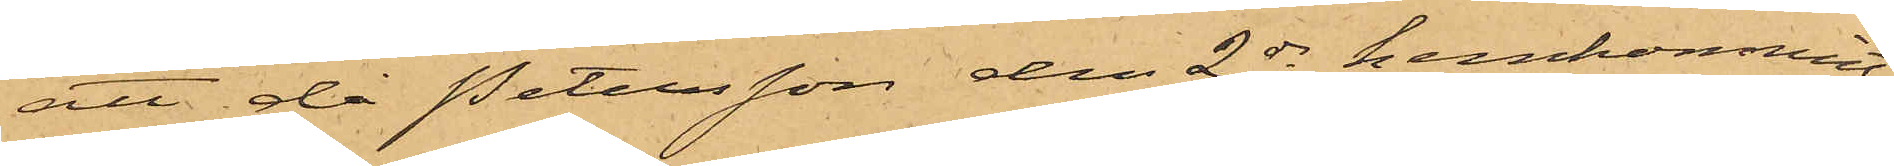att då Petersson den 2 ds hemkommit,
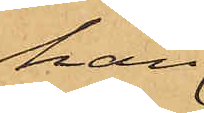han
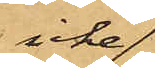icke
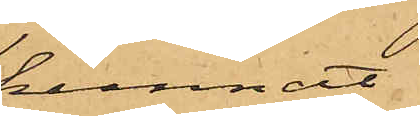kunnat
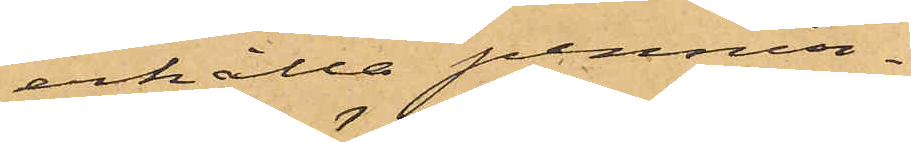erhålla pennin¬
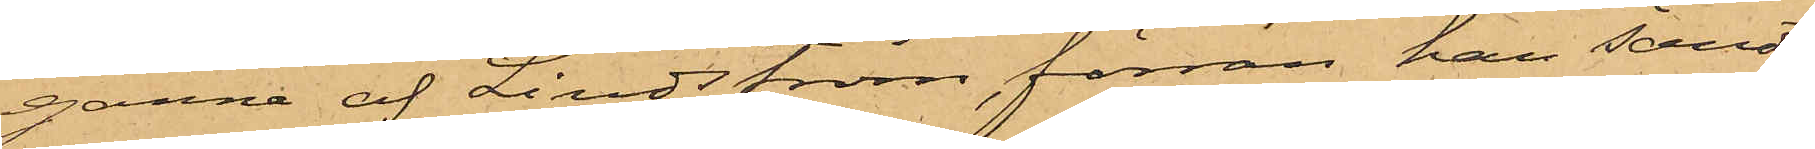garne af Lindström, förrän han sändt
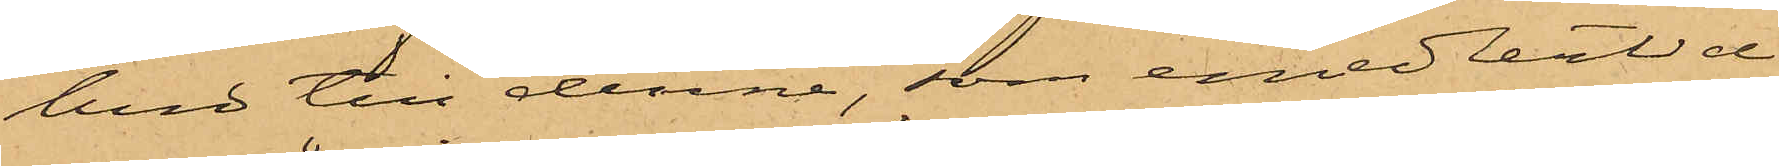bud till denne, som emedlertid
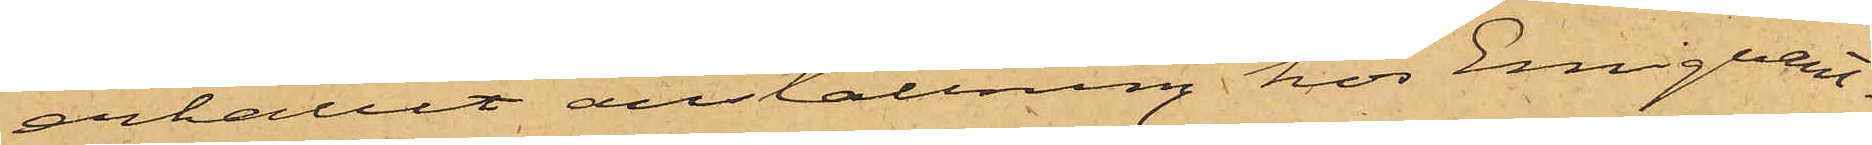erhållit anställning hos Emigrant¬
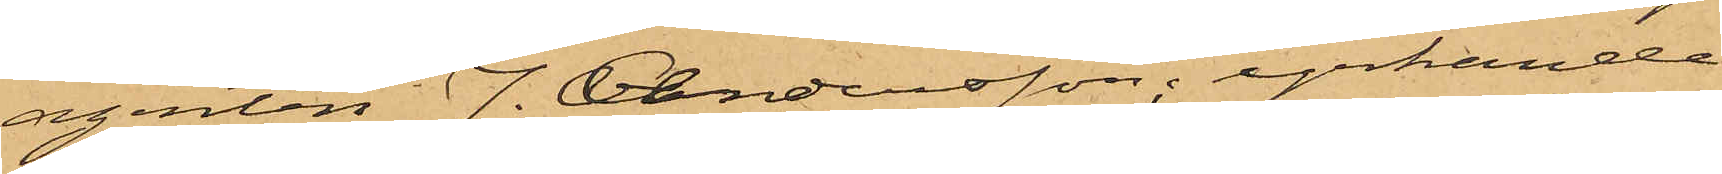agenten J. Andersson; yrkande
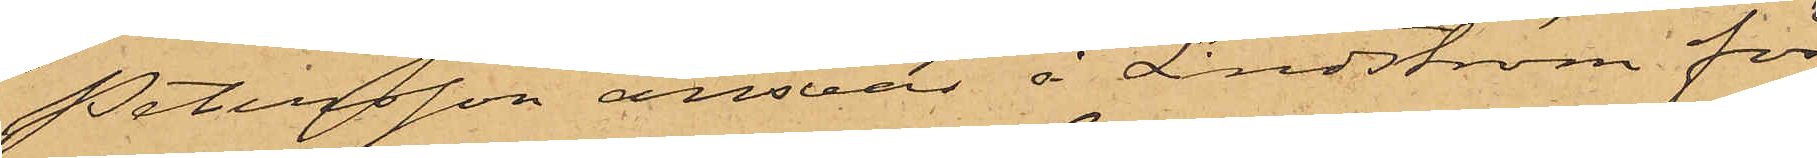Petersson ansvar å Lindström för
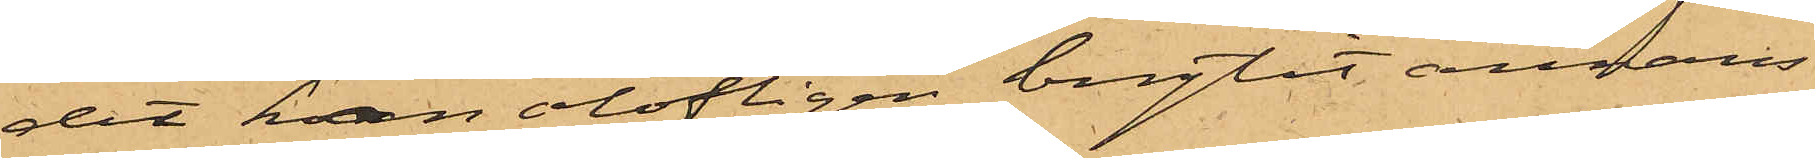det han olofligen brytit annans
